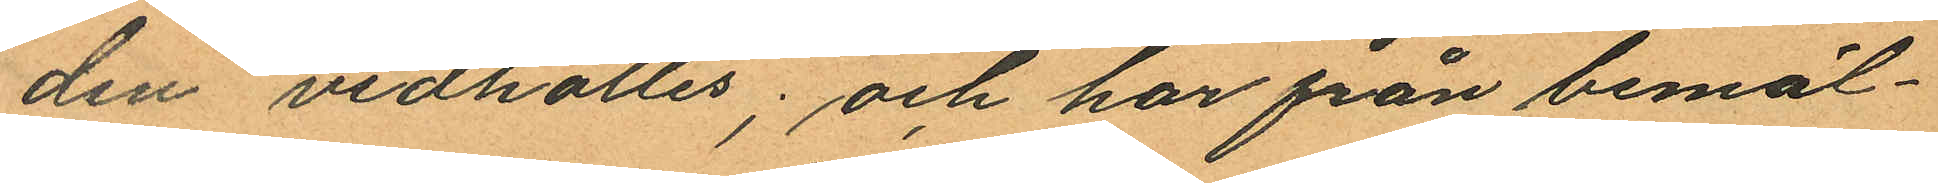den vidhölles; och har från bemäl¬
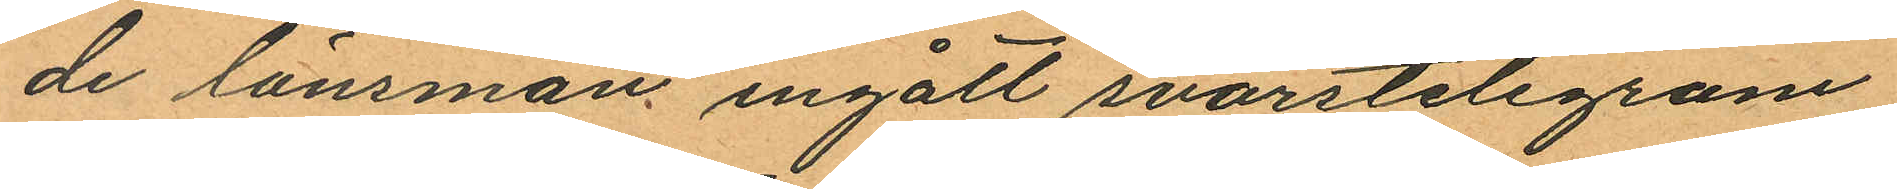de länsman ingått svarstelegram
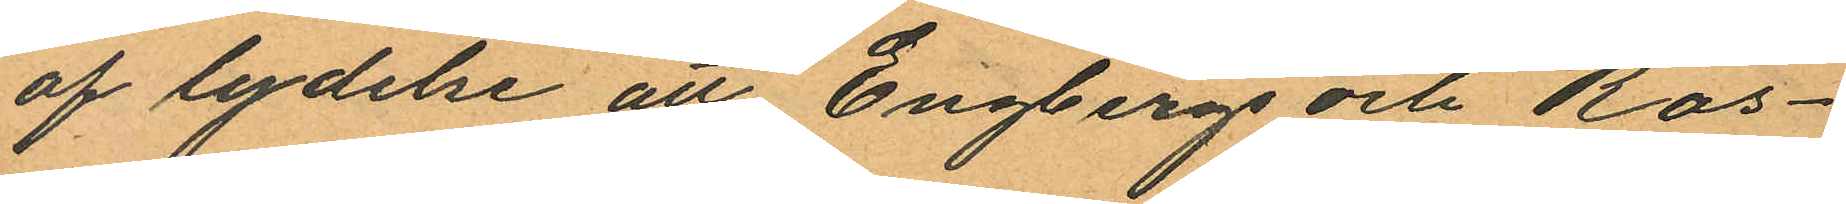af lydelse att Engbergs och Ros¬
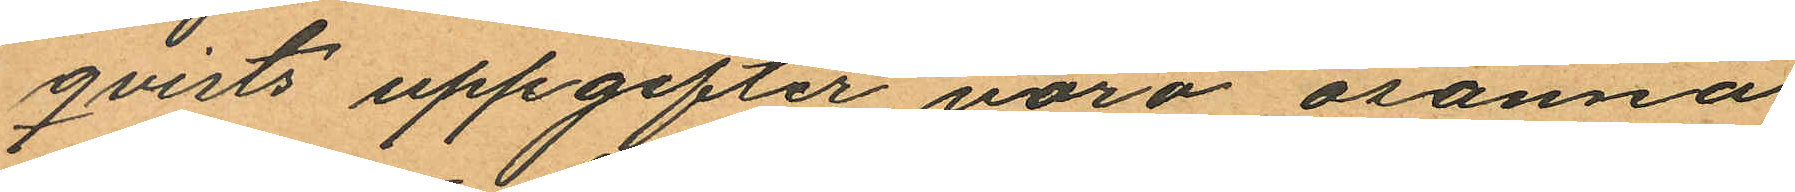qvists uppgifter voro osanna
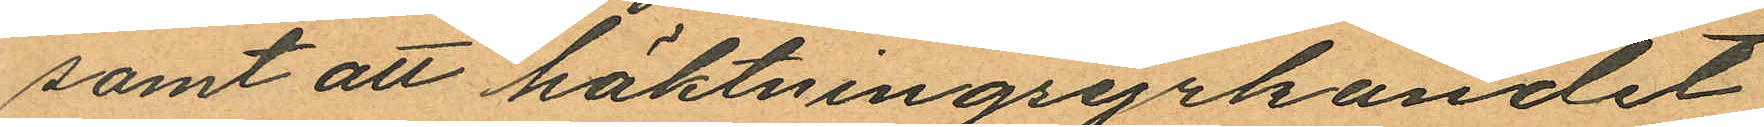samt att häktningsyrkandet
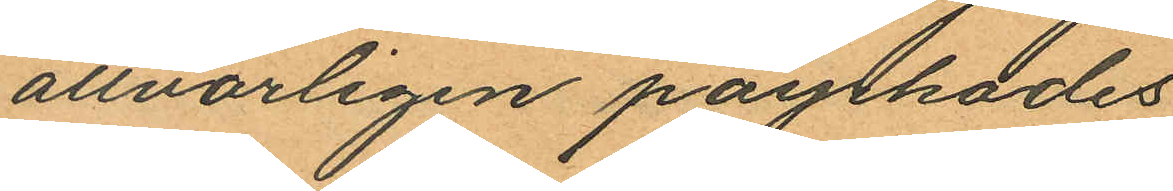allvarligen påyrkades
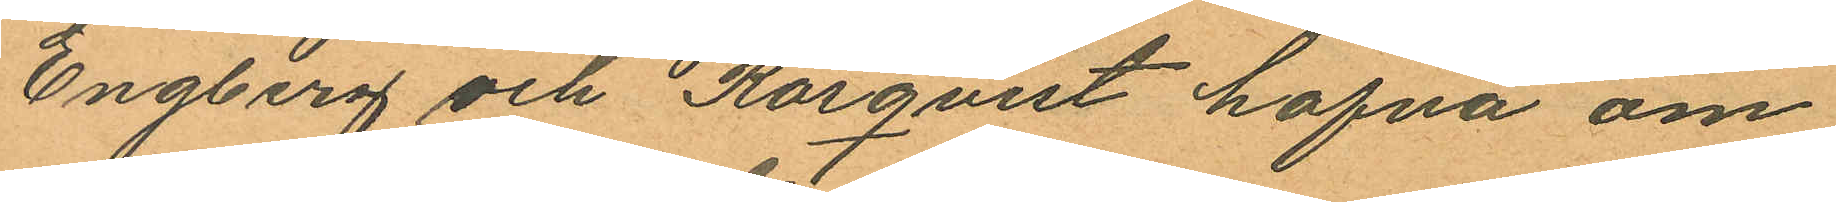Engberg och Rosqvist hafva om
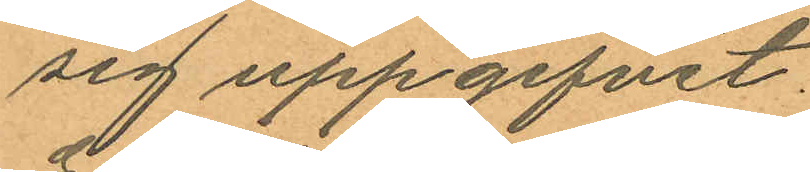sig uppgifvit.
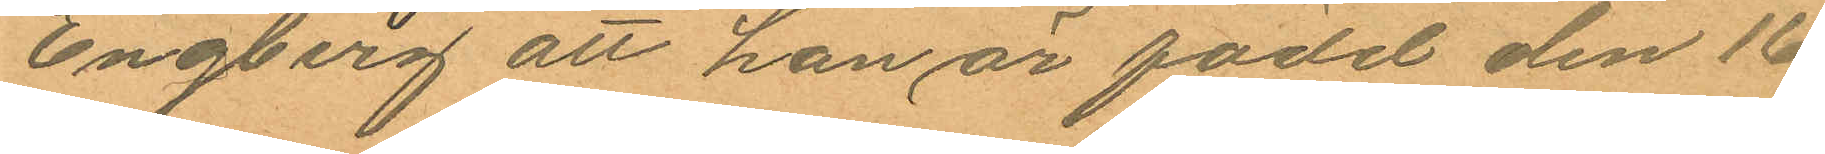Engberg att han är född den 16
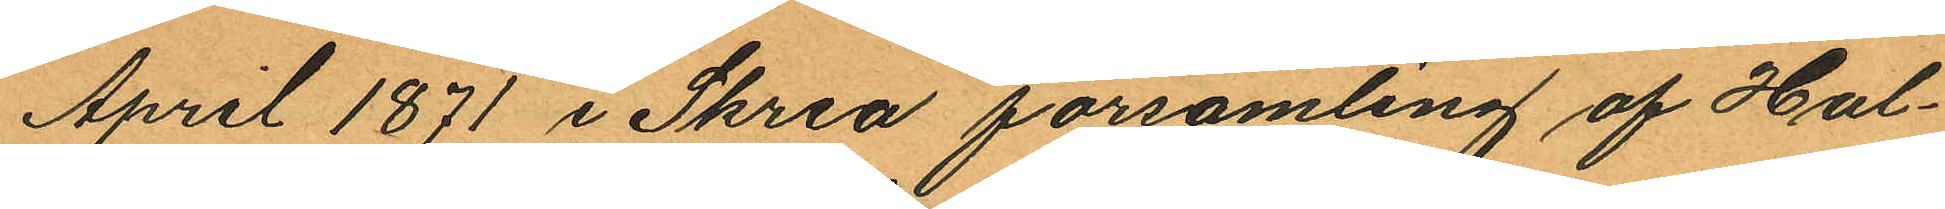April 1871 i Skrea församling af Hal¬
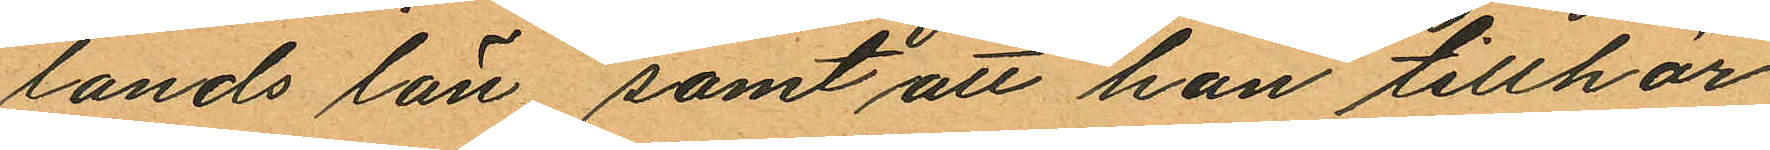lands län samt att han tillhör
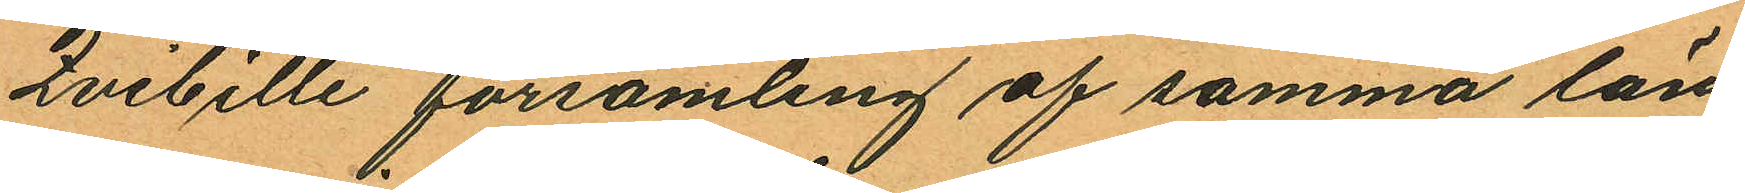Qvibille församling af samma län,
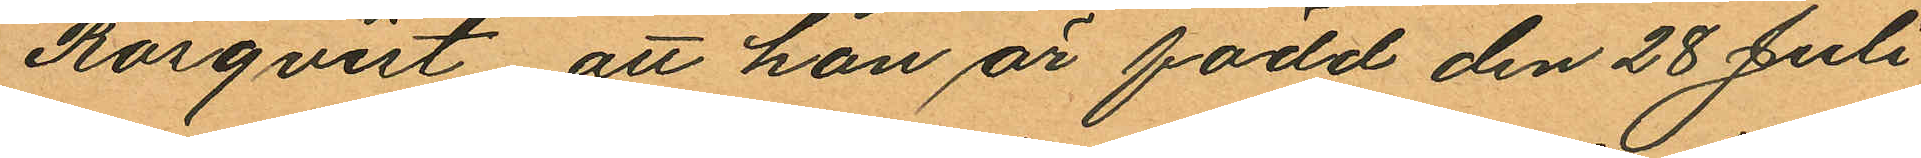Rosqvist att han är född den 28 Juli
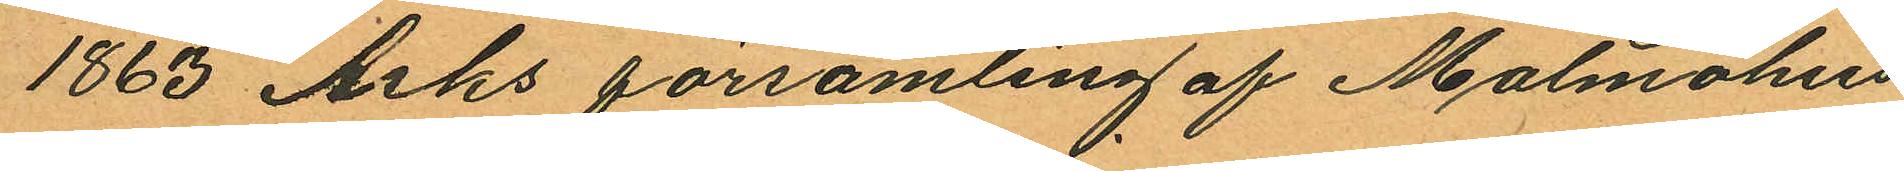1863 Asks församling af Malmöhus
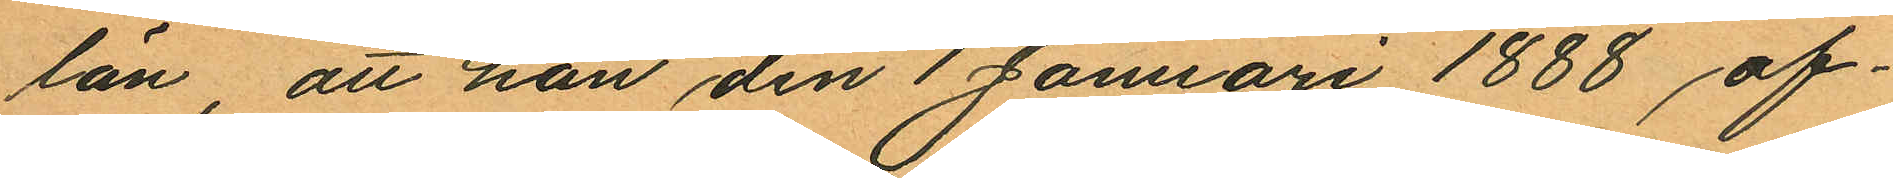län, att han den 1 Januari 1888 af¬
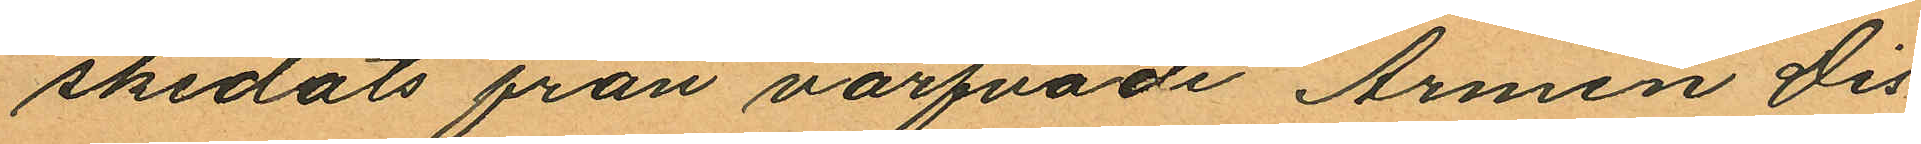skedats från värfvade Armén Dis¬
